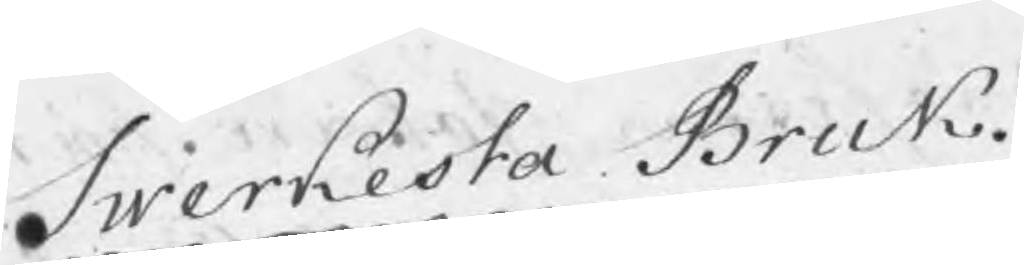Swerkesta Bruk.
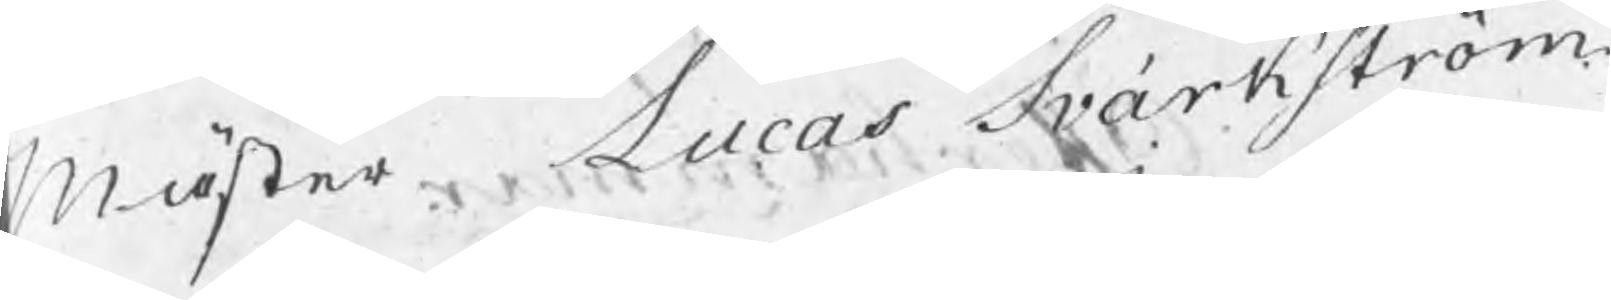Mäster Lucas Svärkström
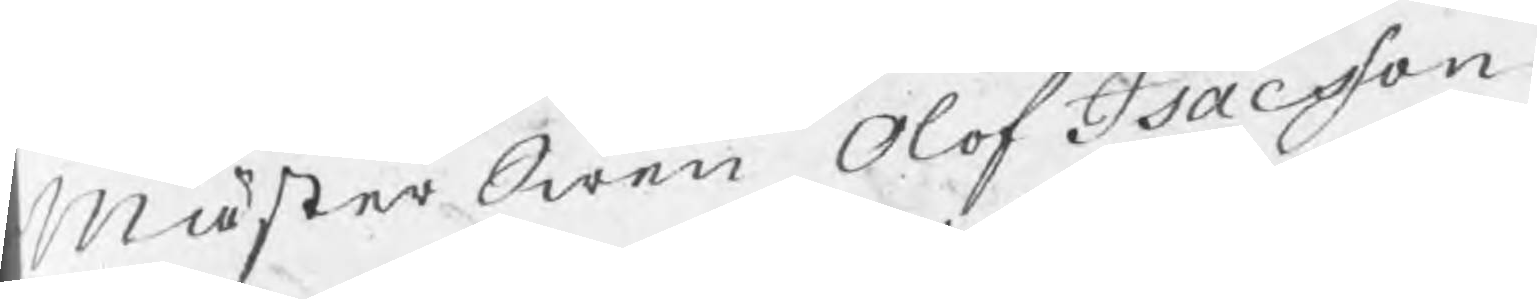MästerSwen Olof Isacsson
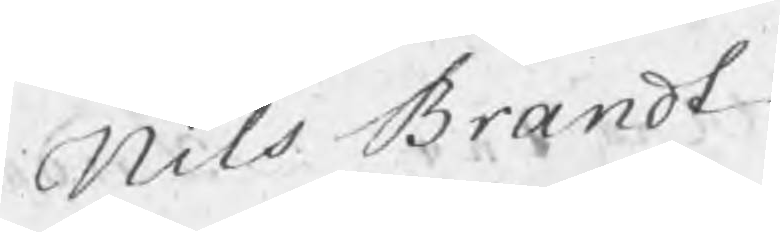Nils Brnadt
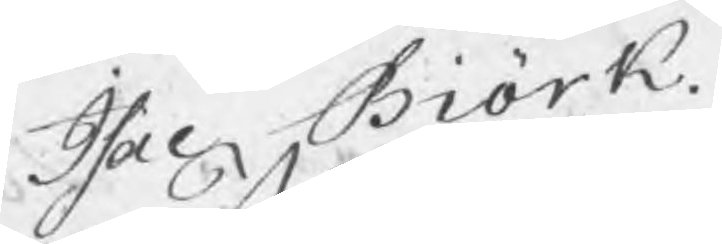Isac Biörk.
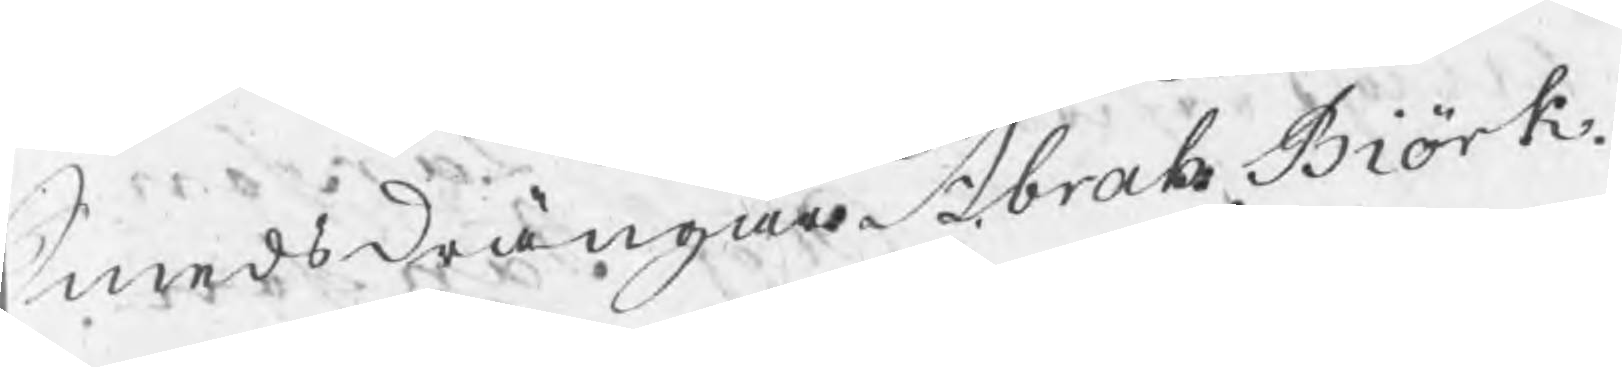Smedsdrängar Abrah. Biörk.
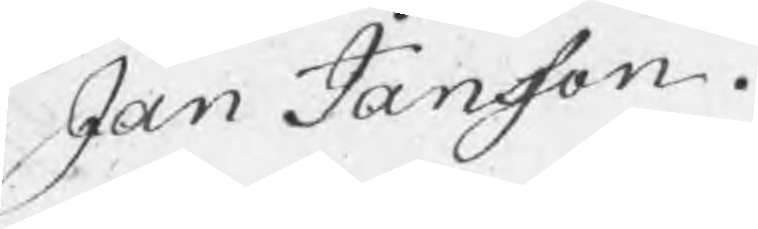Jan Jansson.
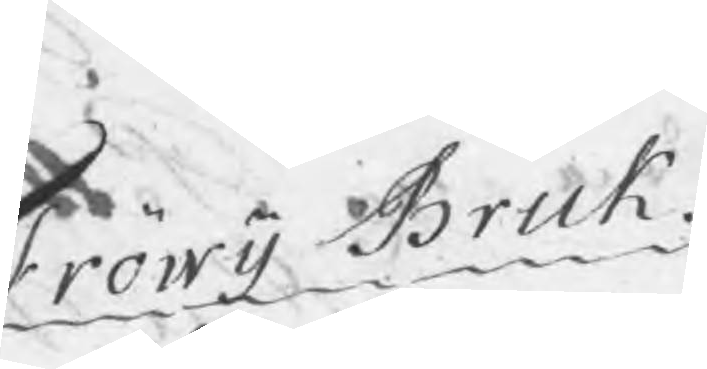Fröwij Bruk.
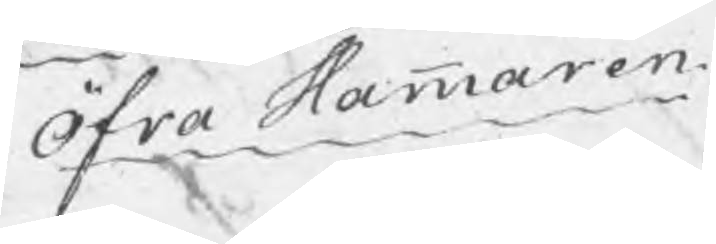Öfra Hammaren.
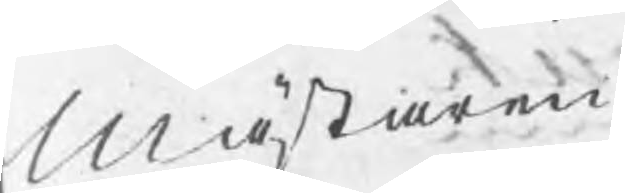Mästaren
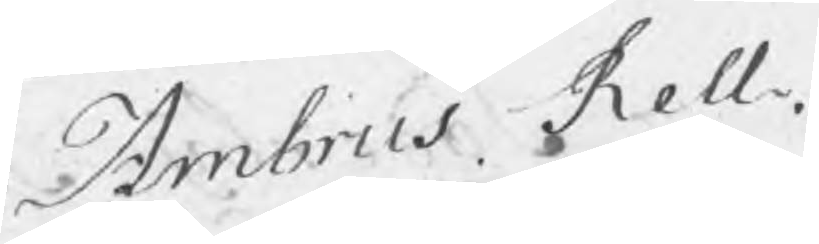Ambrus Rell.
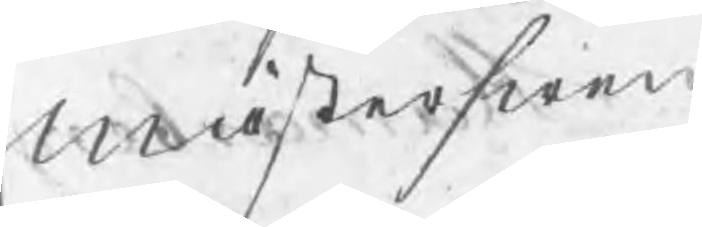Mästerswen
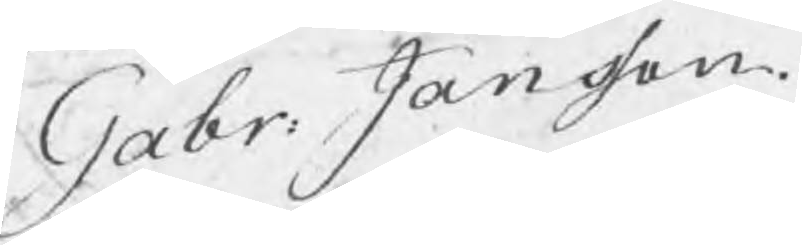Gabr: Jansson
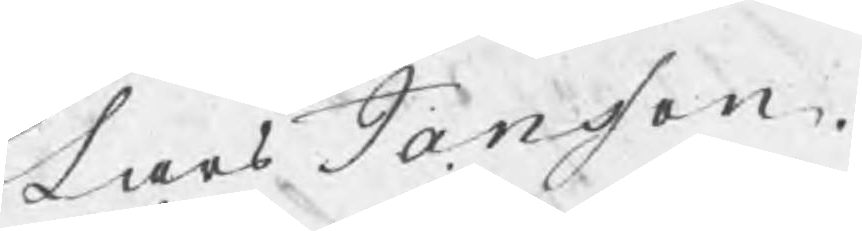Lars Jansson.
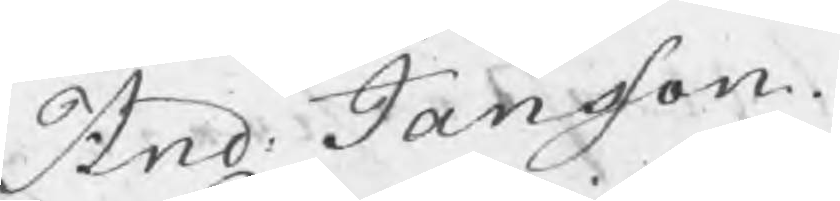And: Jansson.
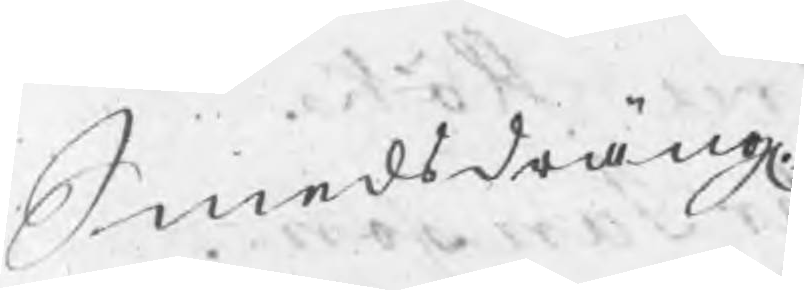Smedsdräng
